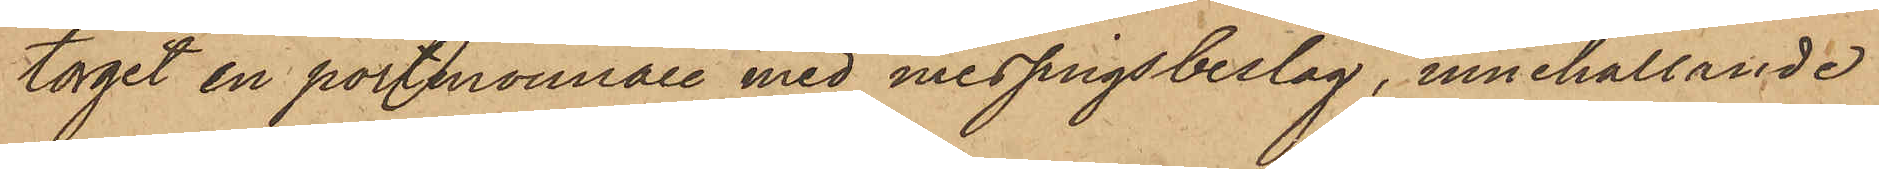torget en portmonnaie med messingsbeslag, innehållande
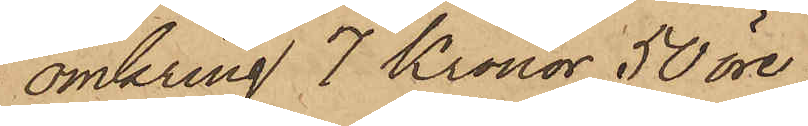omkring 7 Kronor 50 öre;
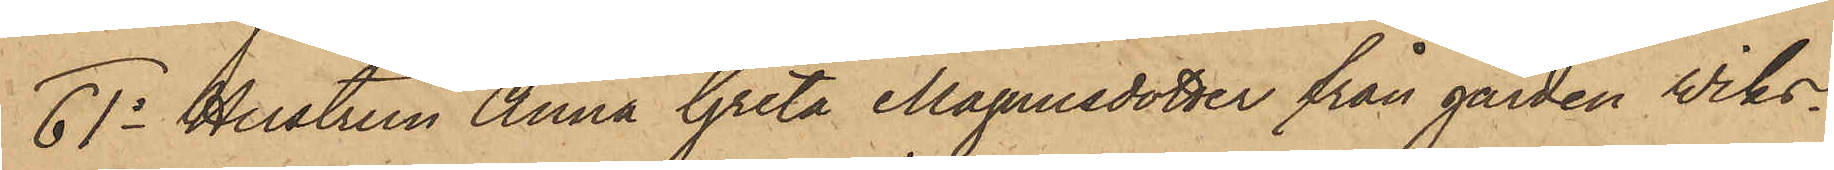61o Hustrun Anna Greta Magnusdotter från gården Wiks¬
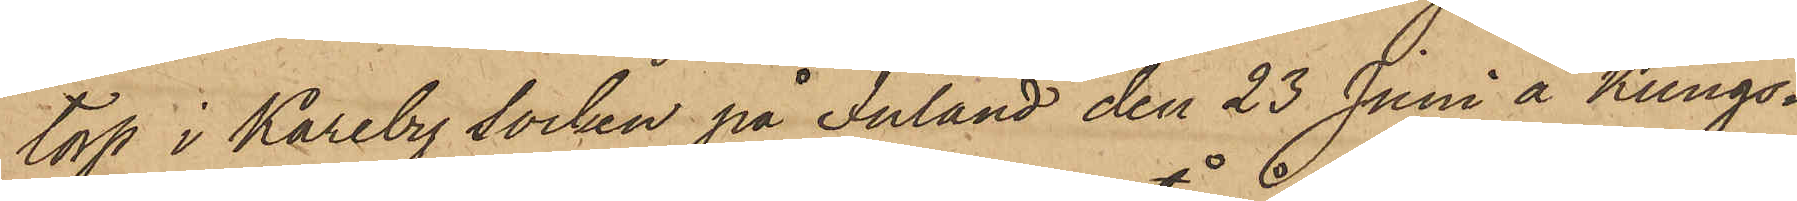torp i Kareby socken på Inland den 23 Juni å Kungs¬
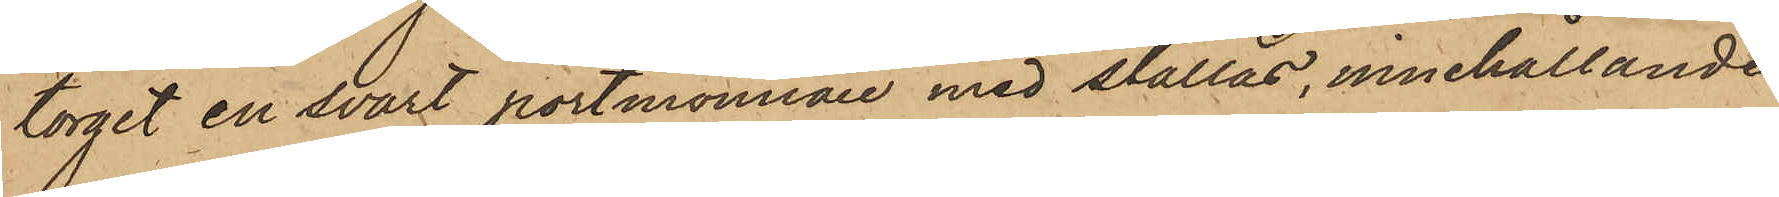torget en svart portmonnaie med stållås, innehållande
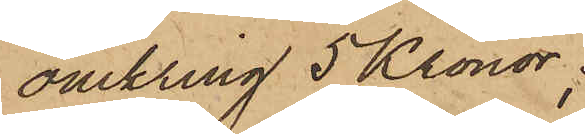omkring 5 Kronor;
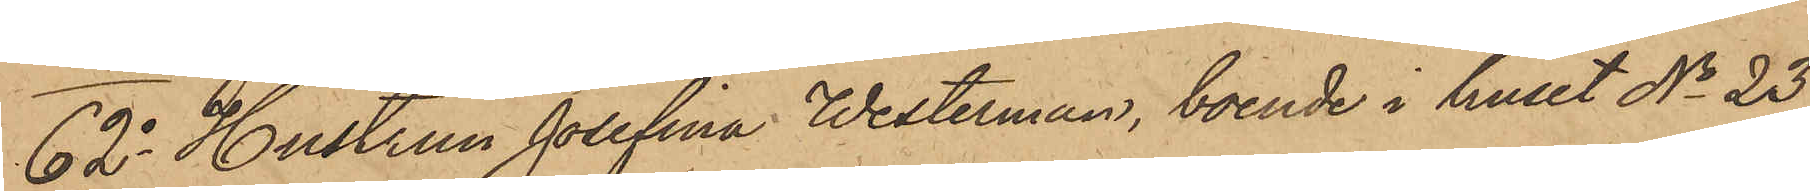62o Hustrun Josefina Westerman, boende i huset No 23
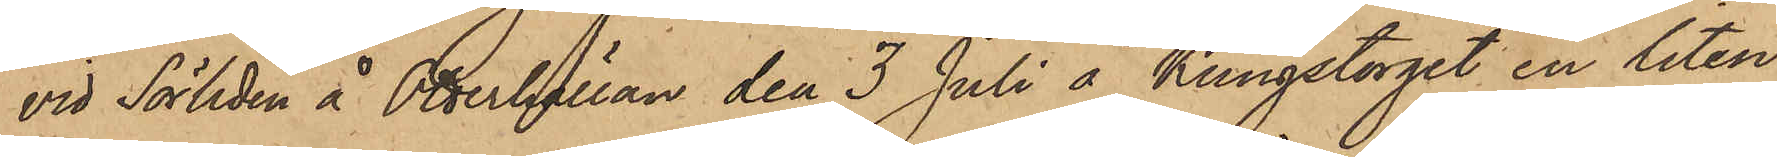vid Sörliden å Otterhällan den 3 Juli å Kungstorget en liten
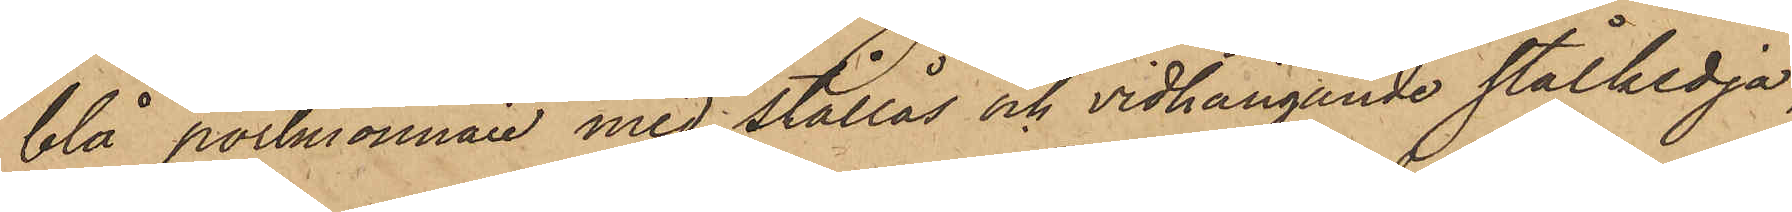blå portmonnaie med stållås och vidhängande stålkedja,
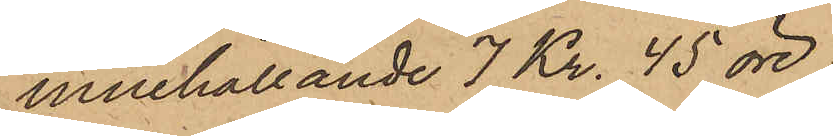innehållande 7 Kr. 45 öre;
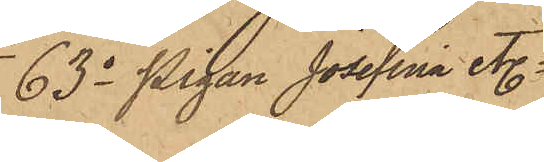63o Pigan Josefina etc.
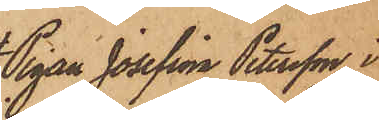Pigan Josefina Petersson, i
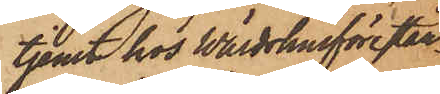tjenst hos Wärdshusförestån¬
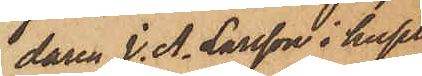daren J. A. Larsson i huset
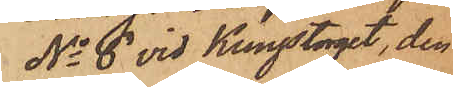No 6 vid Kungstorget, den
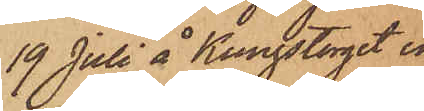19 Juli å Kungstorget en
